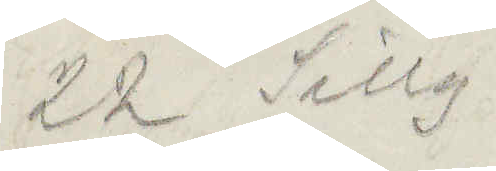22 Sillg.
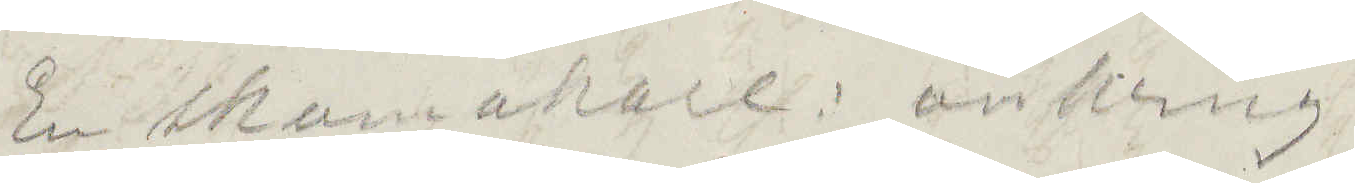En skomakare: omkring
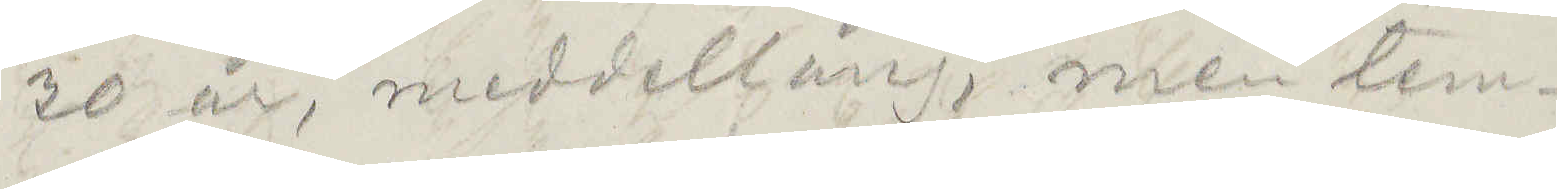30 år, medellång, men tem¬
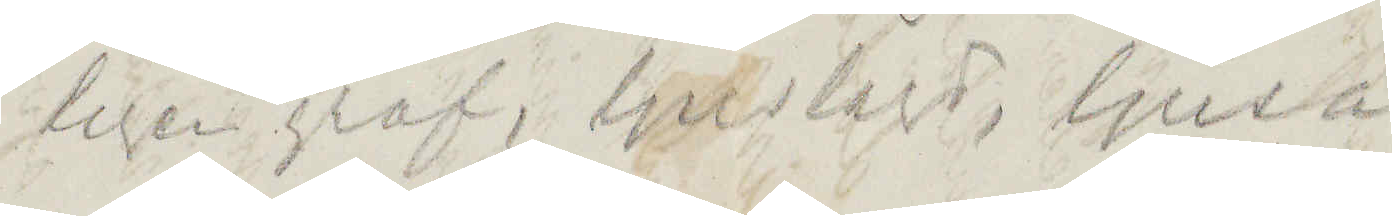ligen grof, ljuslagd ljusa
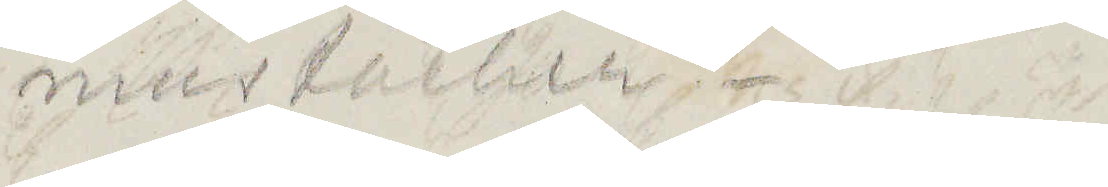mustacher.
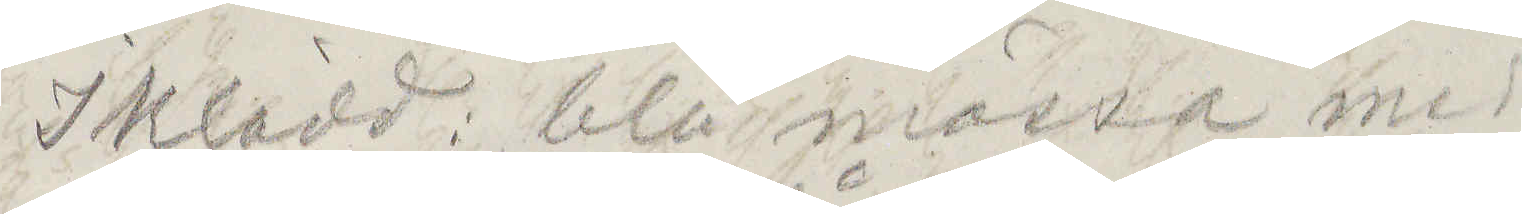Iklädd: blå mössa med
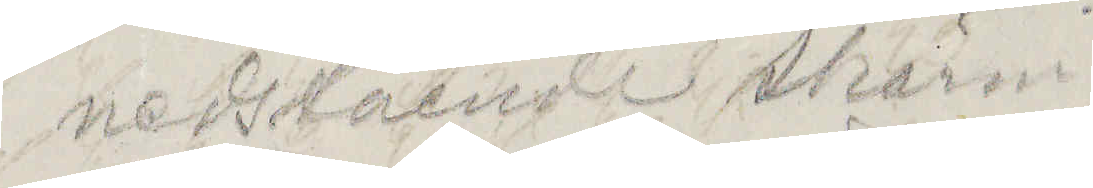nedstående skärm
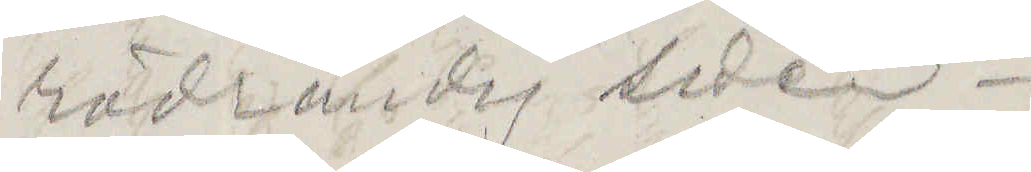rödrandig siden¬
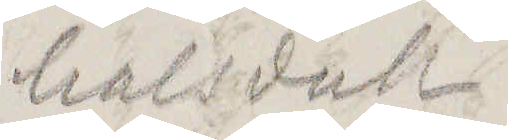halsduk.
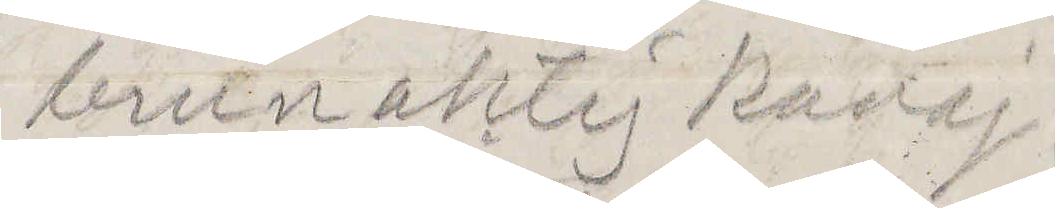brunaktig kavaj
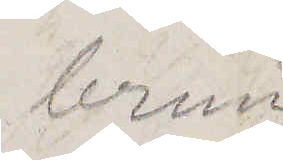brun
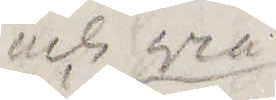och grå
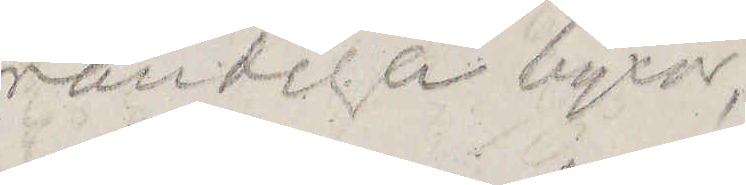randiga byxor,
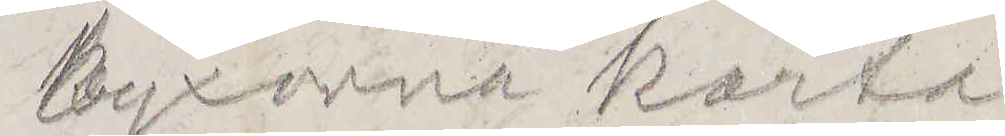byxorna korta,
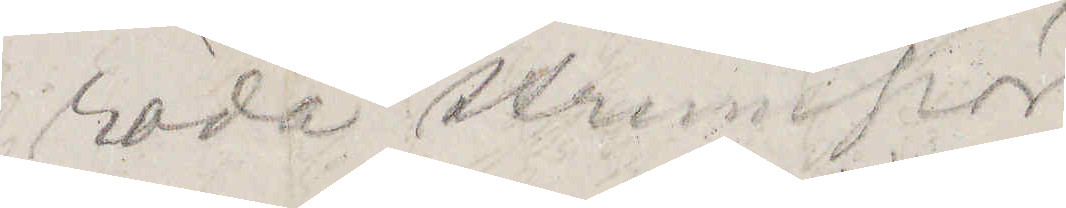röda strumpor
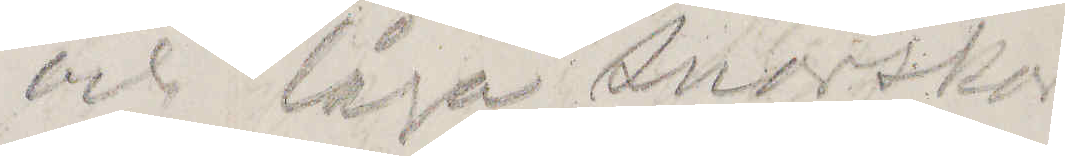och låga snörskor.
